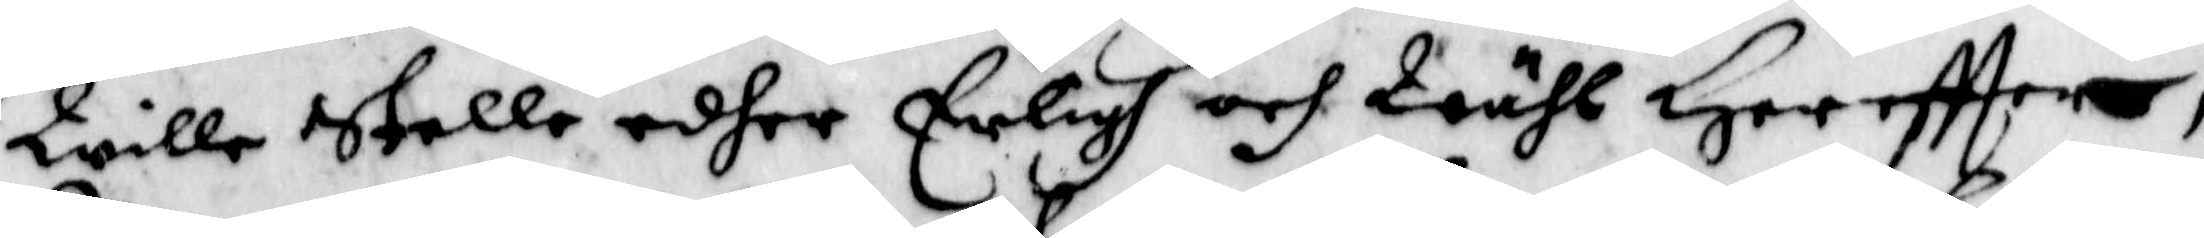Wille stelle edher Erligh och Wähl Hereftter,
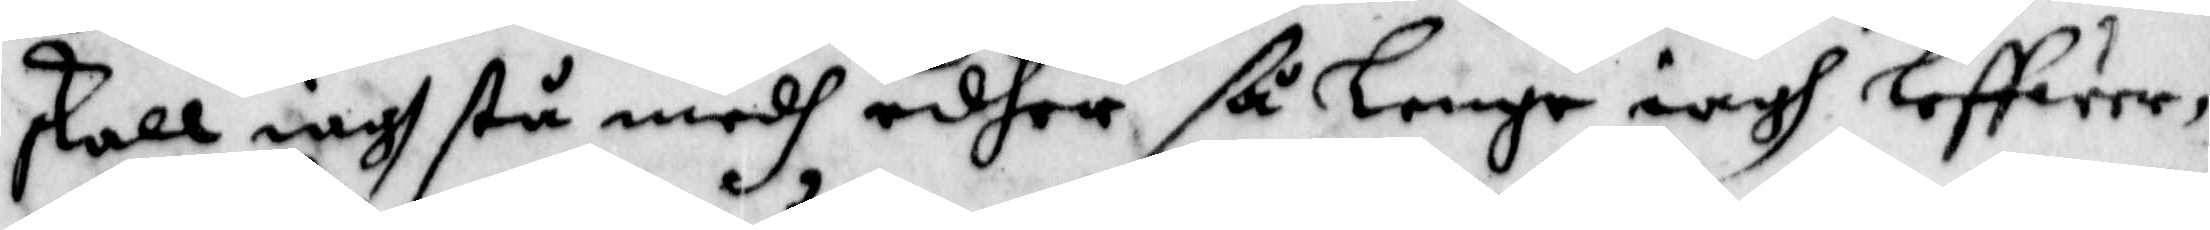skall iagh stå medh edher ßå Lenge iagh leffwer,
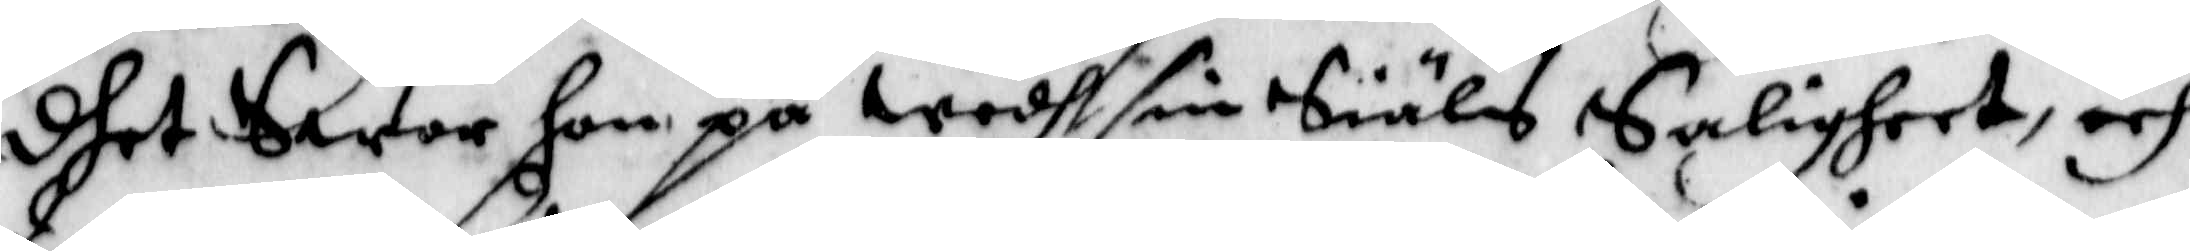dhet Swor hon på Wedh sin Siäls Saligheet, och
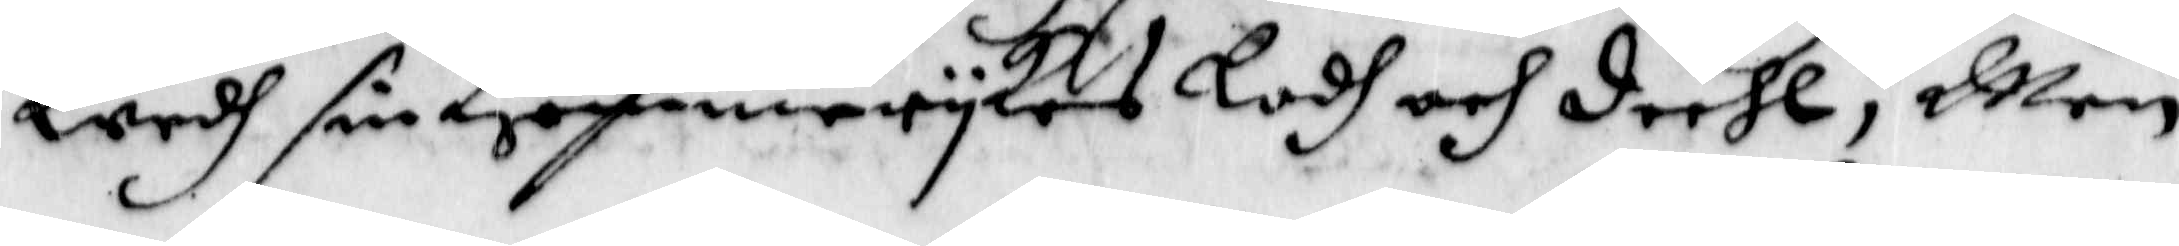Wedh sin Himmerrykes Lodh och deehl; Men
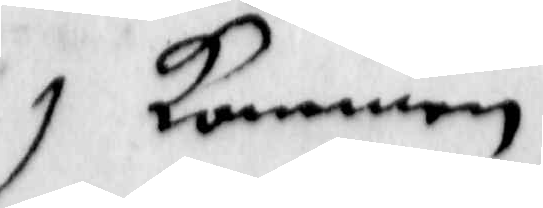kommen 
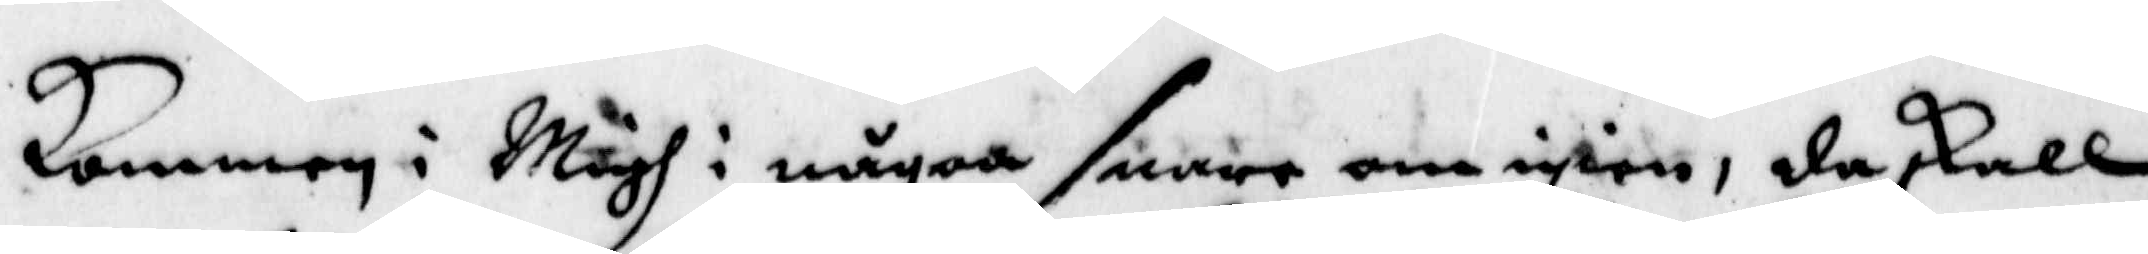kommen i Mägh i någon snara om igien, då skall
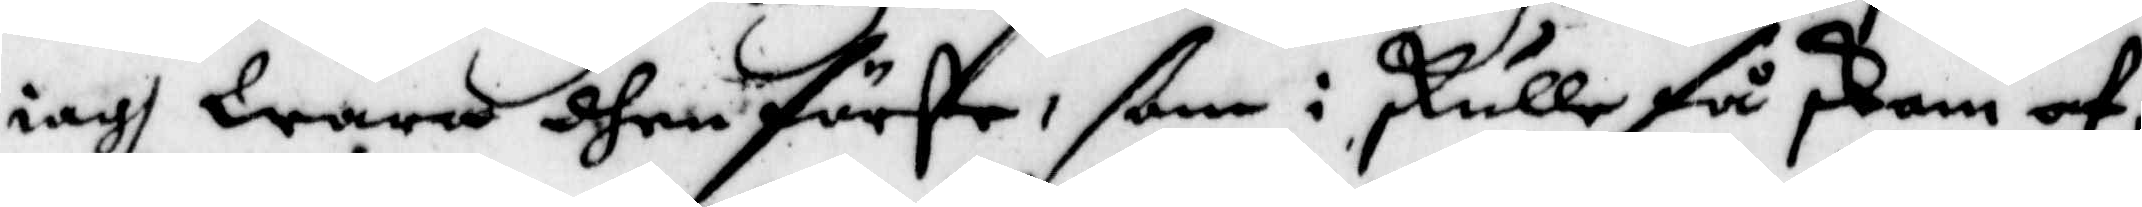iagh wara dhen förste, som i skulle få skam af,
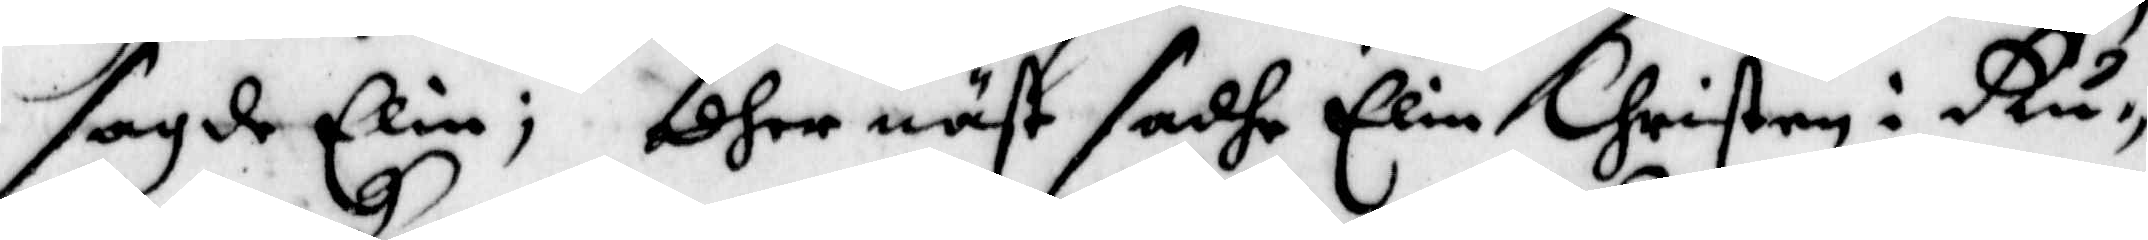sagde Elin; dher näst sadhe Elin Christen i Ru¬
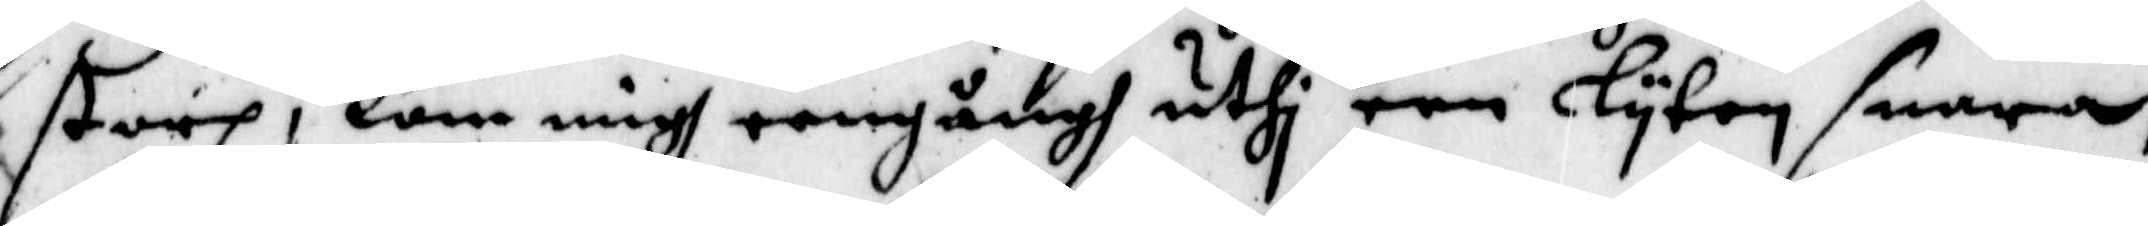storp, kom migh eengångh uthi een lyten snara,
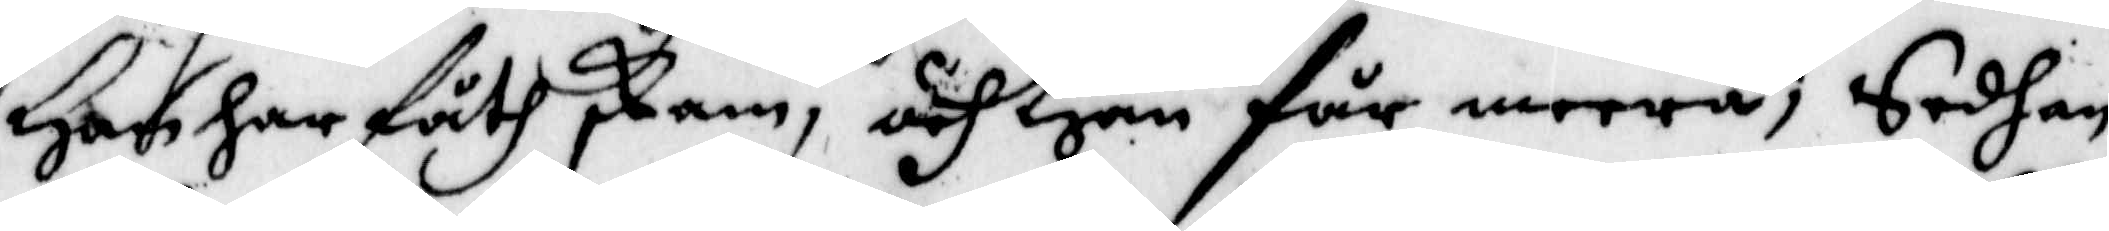Han har fåth skam, och han får meera; Sedhan
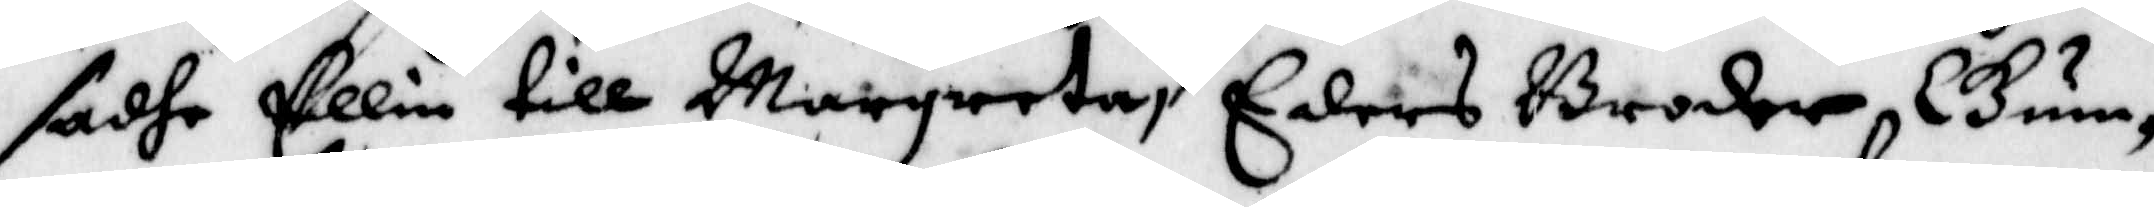sadhe Ellin till Margreta, Eders Broder, Gun¬
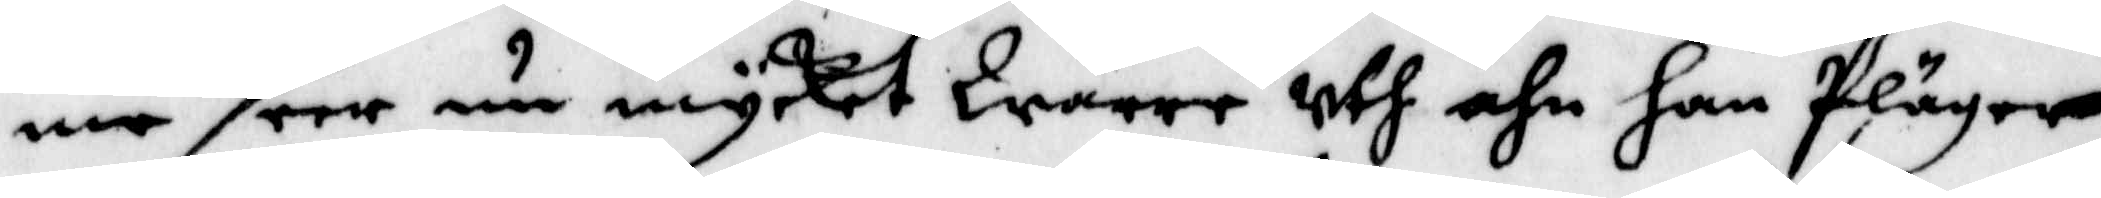me seer nu mycket Wärre uth ähn han Pläger
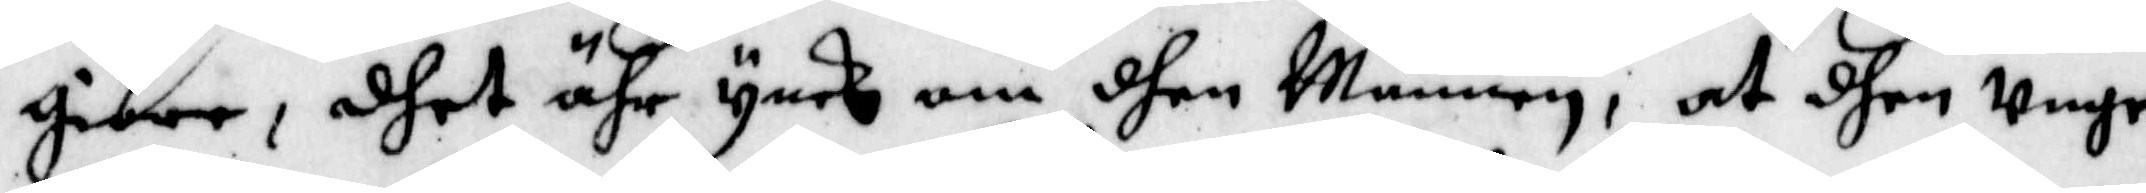giöre, dhet ähr ynck om dhen Mannen; at dhen unge
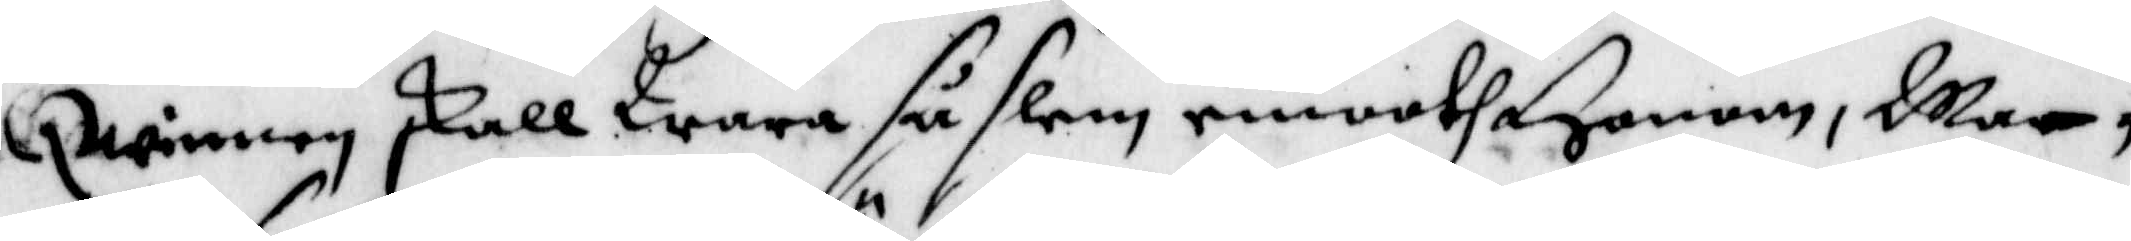Qwinnen skall Wara så slem emooth Honom, Mar¬
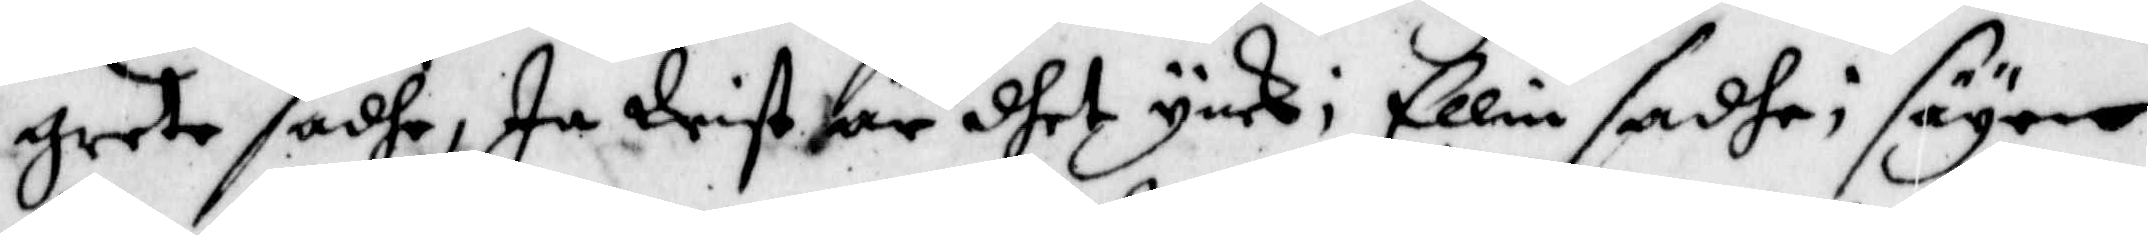greta sadhe, Ja Wist är dhet ynck; Ellin sadhe, säyer
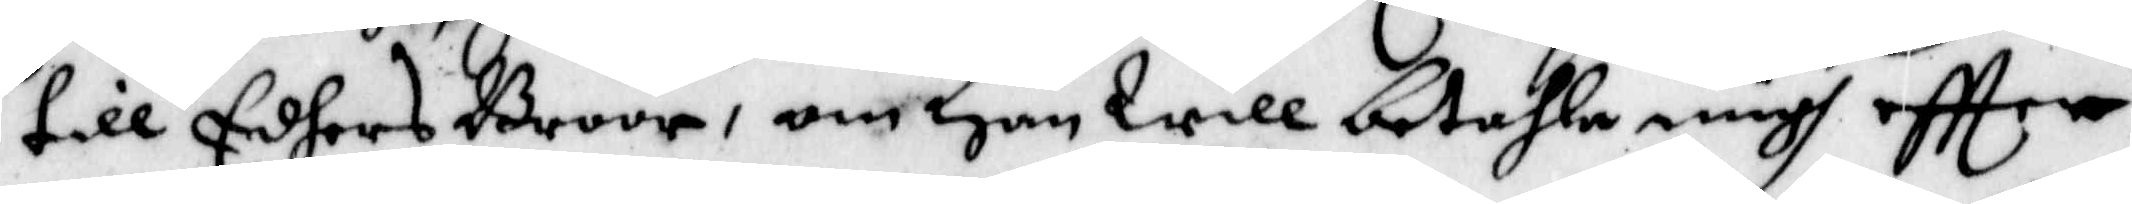till Eders Broor, om Han will betahla migh eftter
